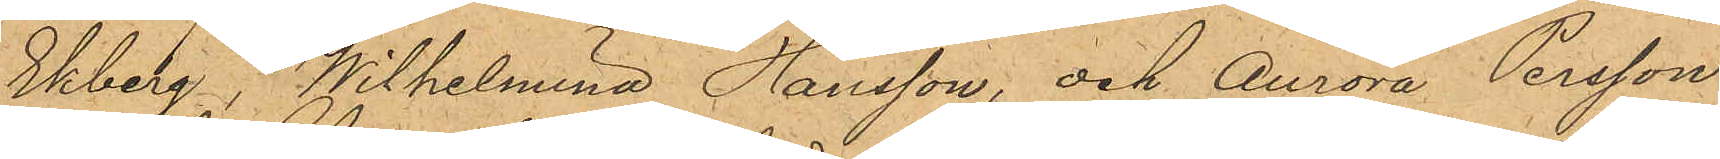Ekberg, Wilhelmina Hansson, och Aurora Persson
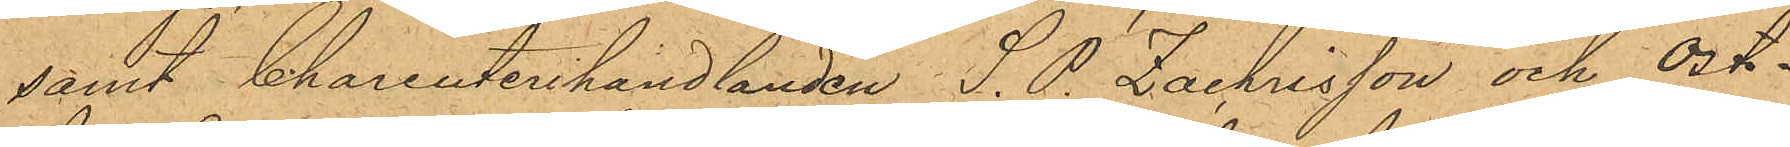samt Charcuterihandlanden S. P. Zachrisson och ost¬
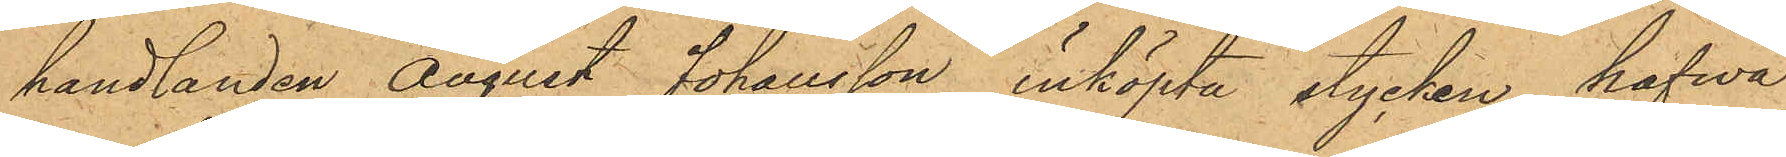handlanden August Johansson inköpta stycken hafva
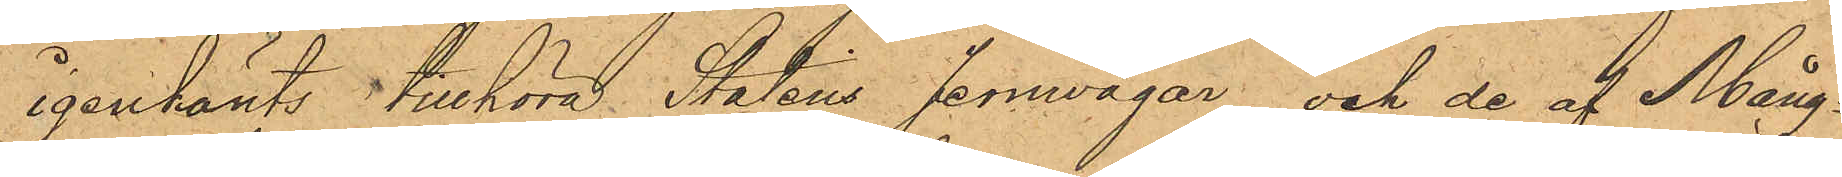igenkänts tillhöra Statens Jernvägar och de af Mång¬
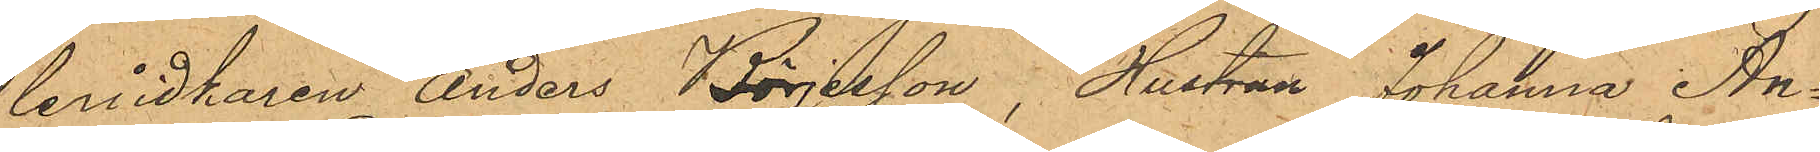leridkaren Anders Börjesson, Hustrun Johanna An¬
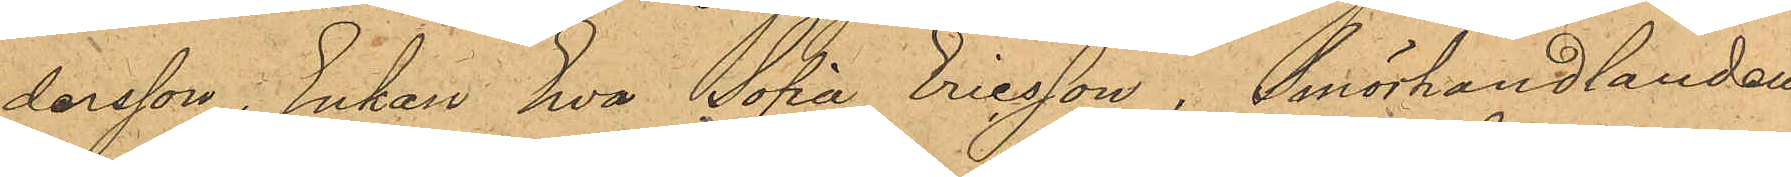dersson, Enkan Eva Sofia Ericsson , Smörhandlanden
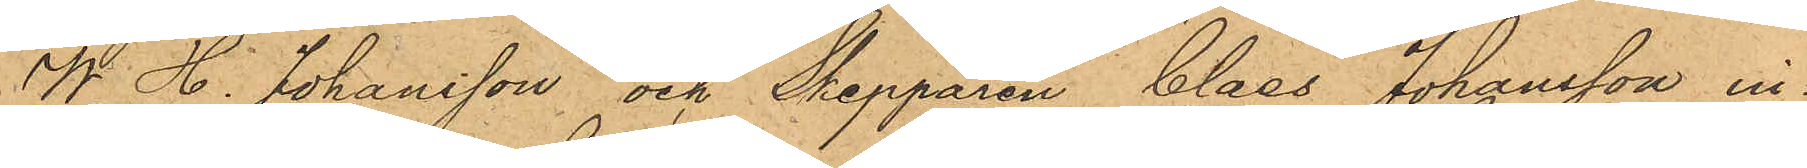W. H. Johansson och Skepparen Claes Johansson in¬
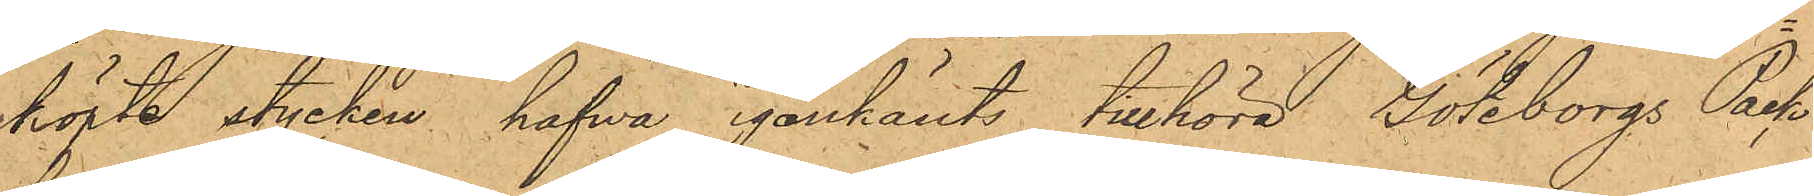köpte stycken hafwa igenkänts tillhöra Göteborgs Pack¬
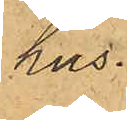hus.
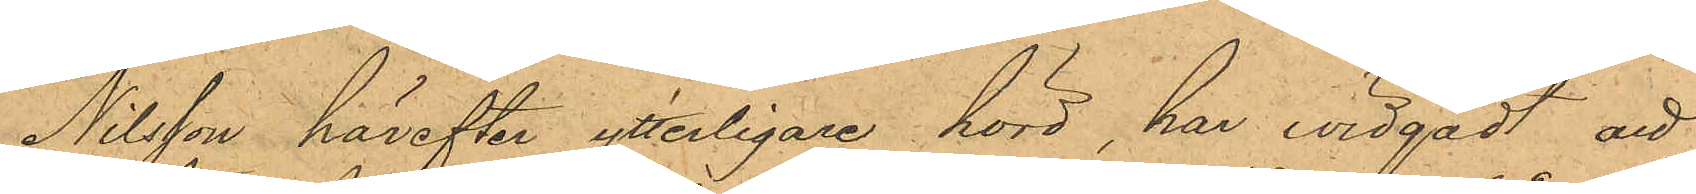Nilsson härefter ytterligare hörd, har widgådt att
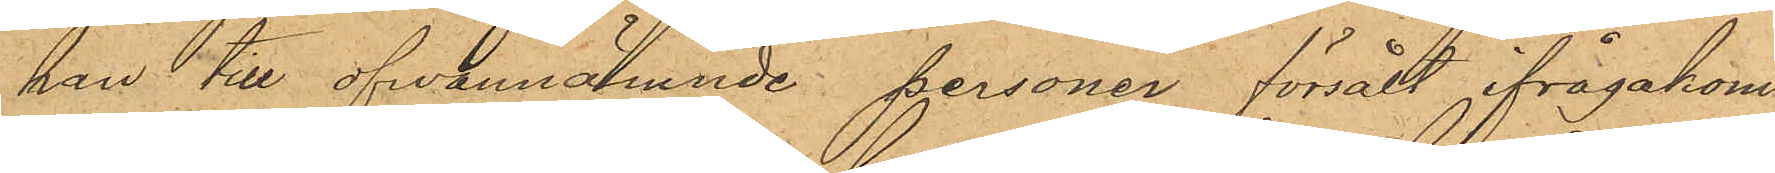han till ofwannämnde personer försålt ifrågakom¬
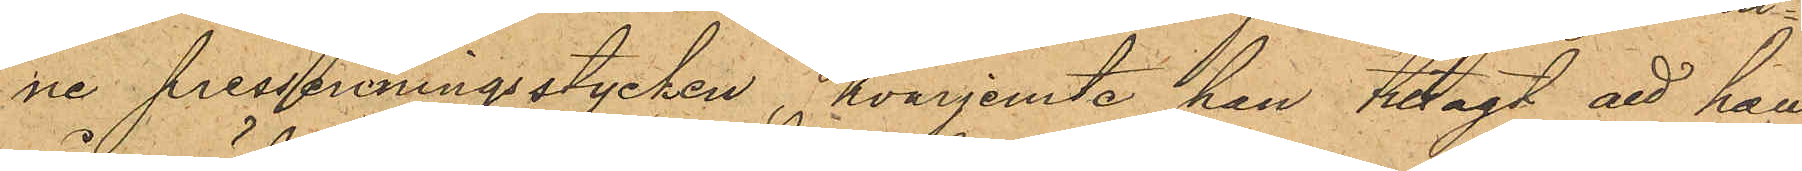ne pressenningsstycken, hvarjemte han tillagt att han
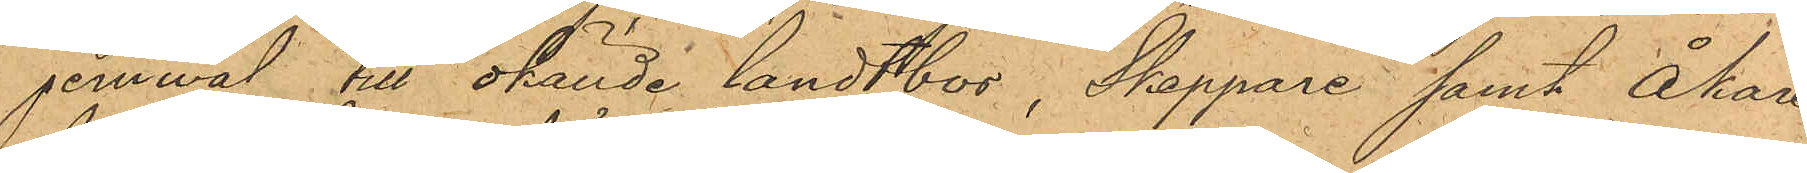jemwäl till okände landtbor, Skeppare samt Åkare
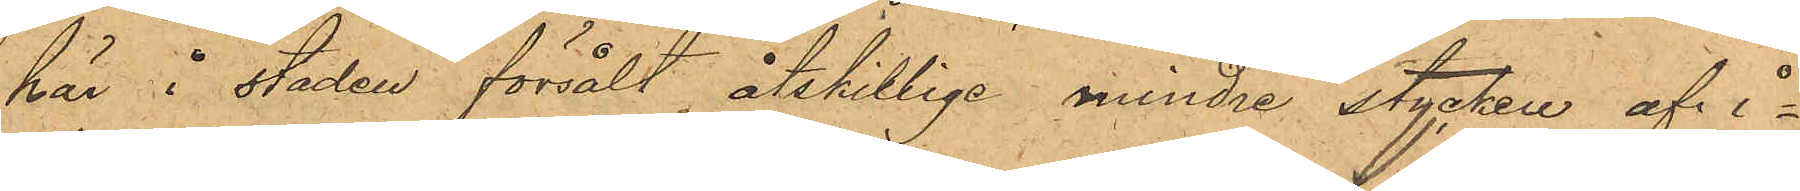här i staden försålt åtskillige mindre stycken af i¬
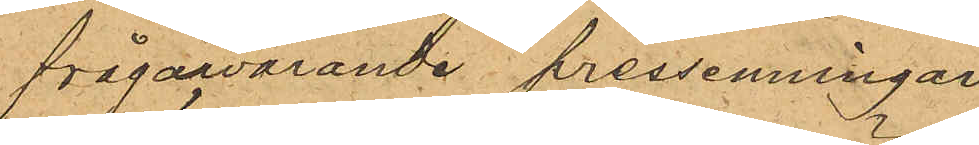frågawarande pressenningar.
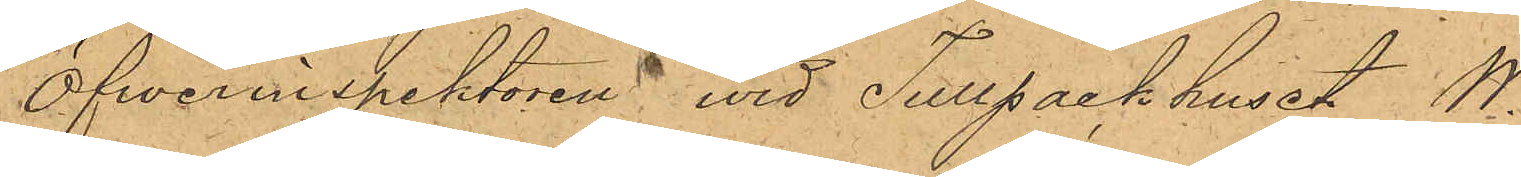Öfverinspektören vid Tullpackhuset W.
